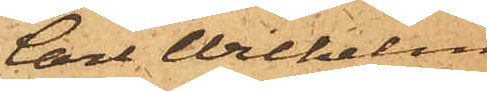Carl Wilhelm
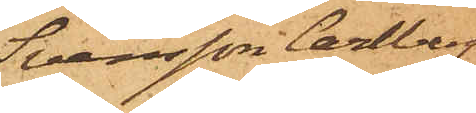Svensson Carlberg.
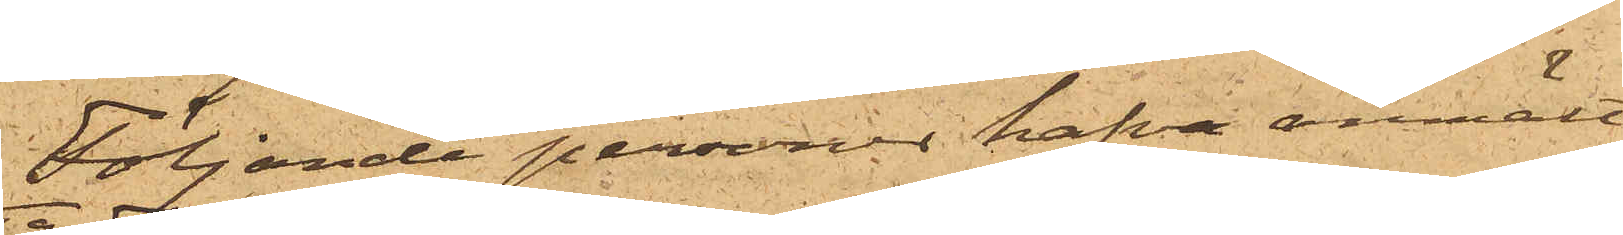Följande personer hafva anmält
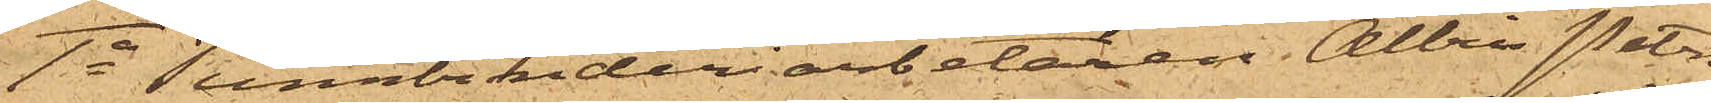1o Tunnbinderiarbetaren Albin Peter¬
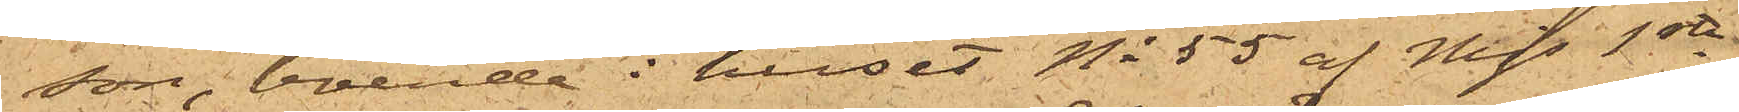son, boende i huset No 55 af Mjs 1ste
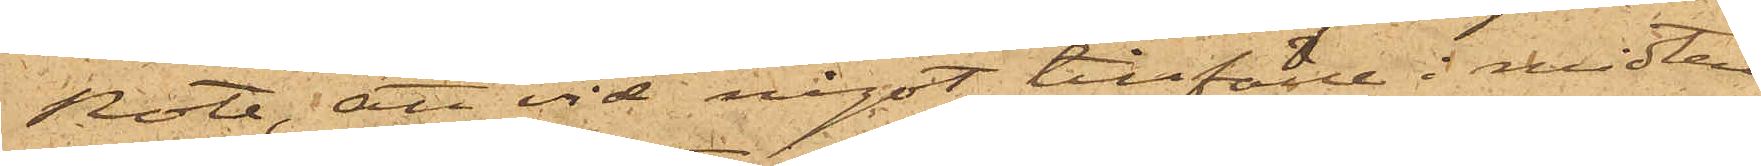Rote; att vid något tillfälle i midten
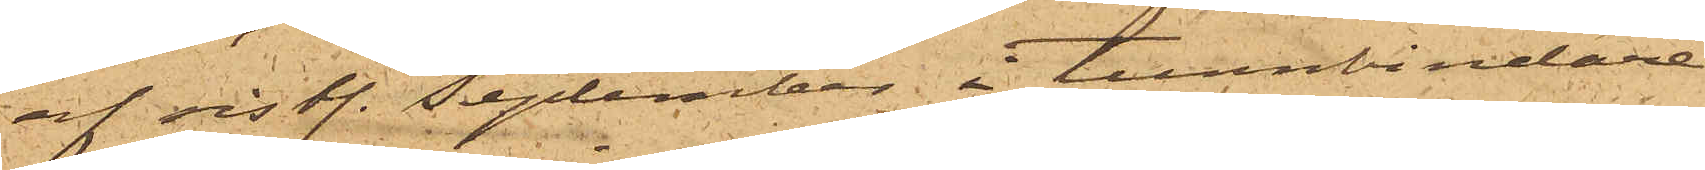af sist. September å tunnbindare¬
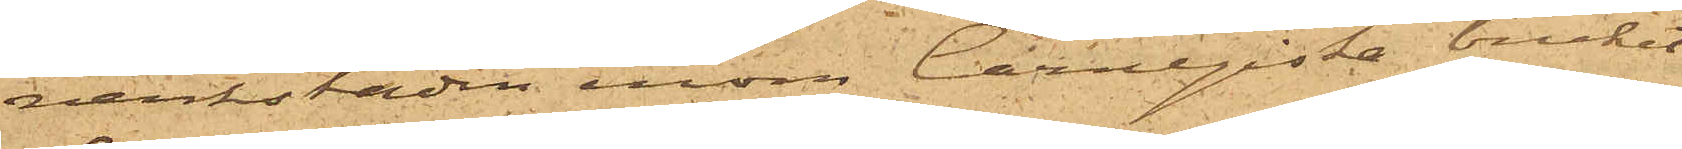verkstaden inom Carnegieska bruket
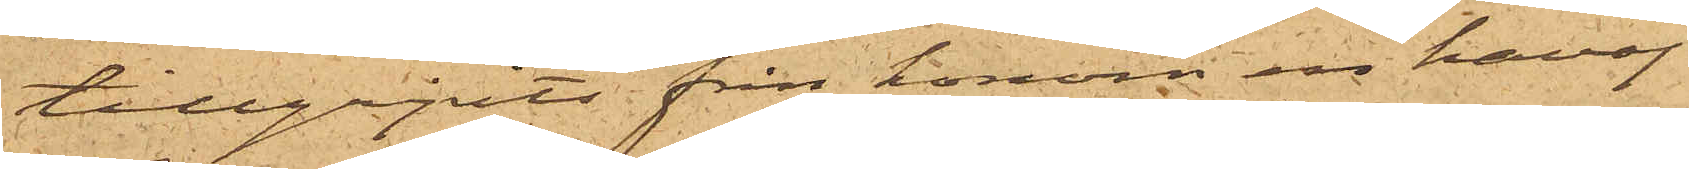tillgripits från honom en kavaj
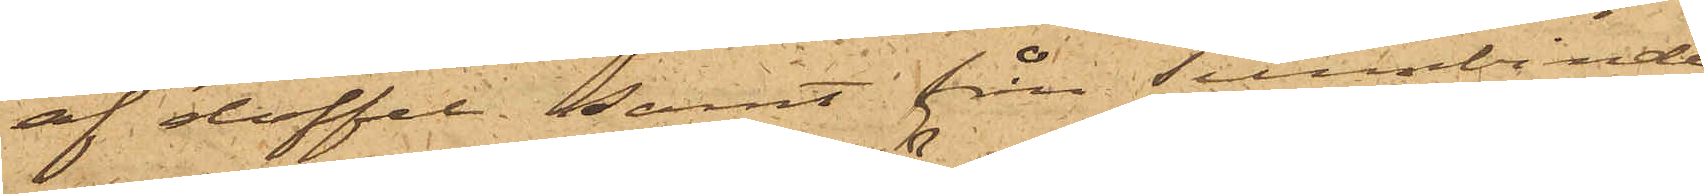af doffel; samt från tunnbinde¬
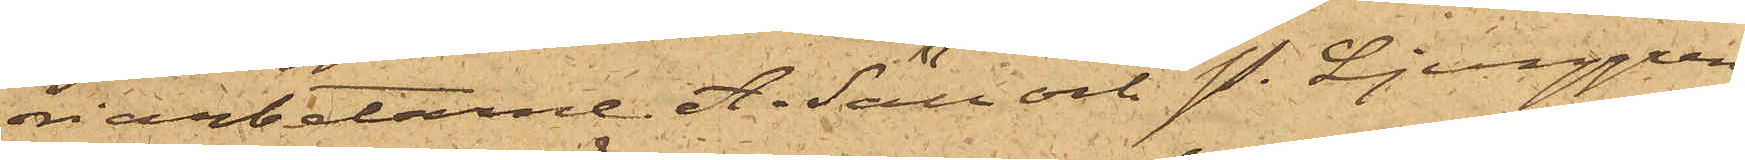riarbetarne A. Säll och P. Ljunggren
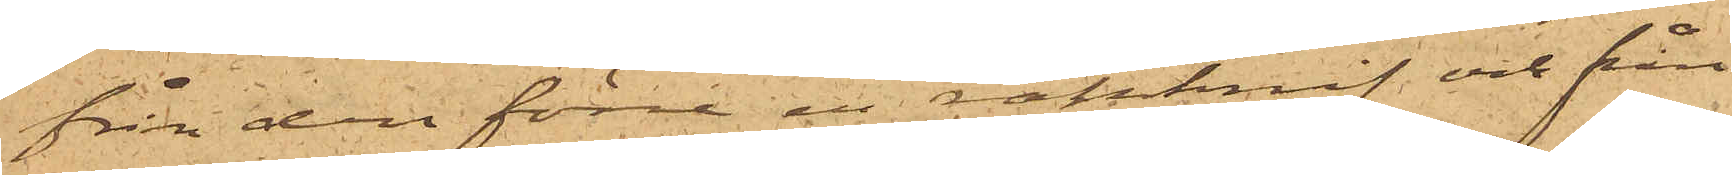från den förre en rakknif och från
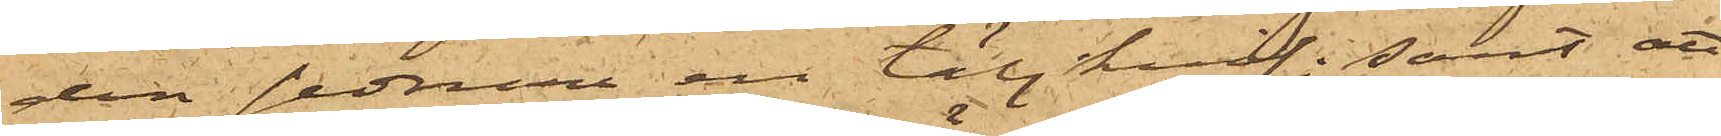den sednare en täljknif; samt att
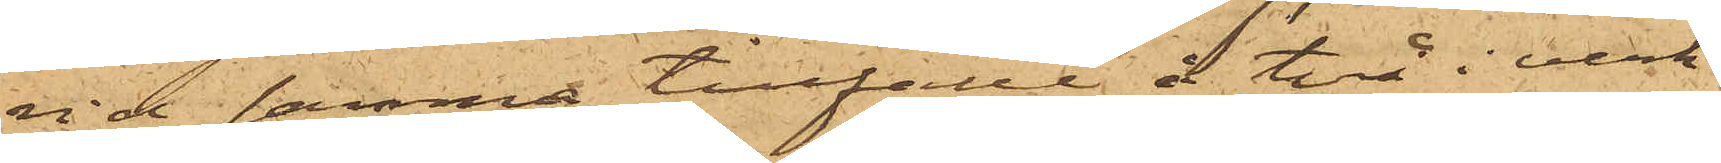vid samma tillfälle å två i verk¬
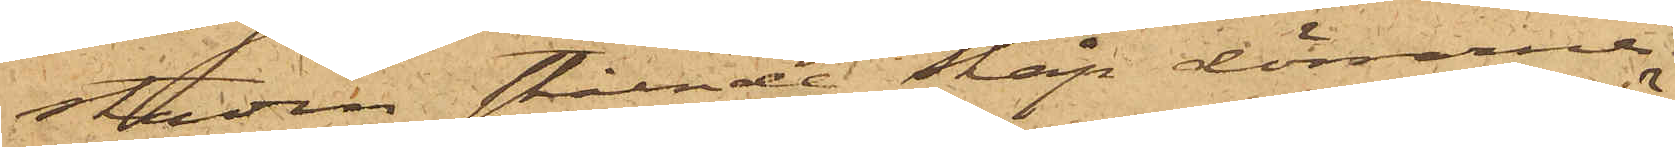staden stående skåp dörrarne
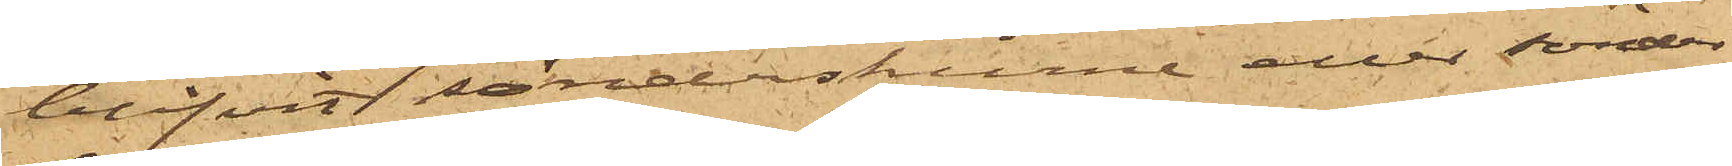blifvit sönderskurne eller sönder¬
